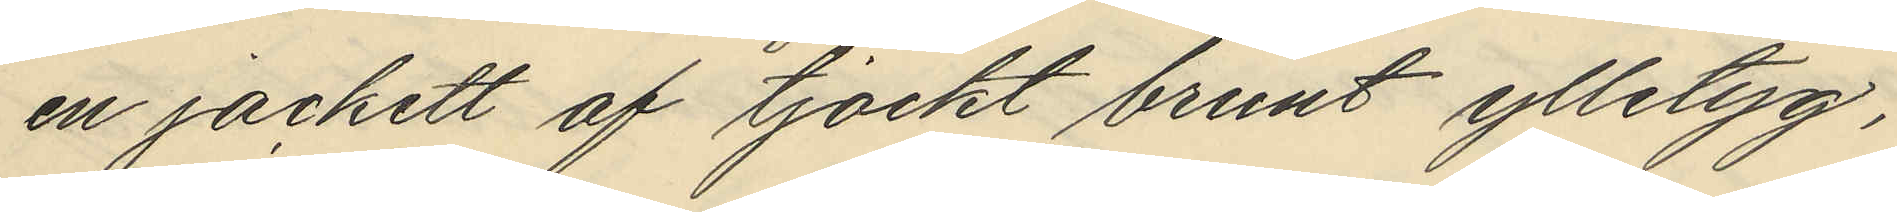en jackett af tjockt brunt ylletyg,
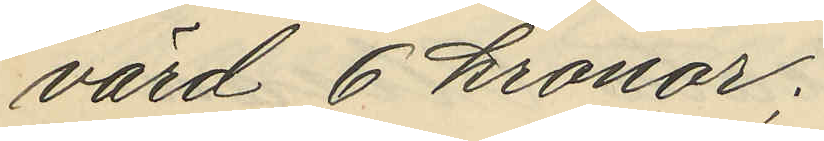värd 6 kronor;
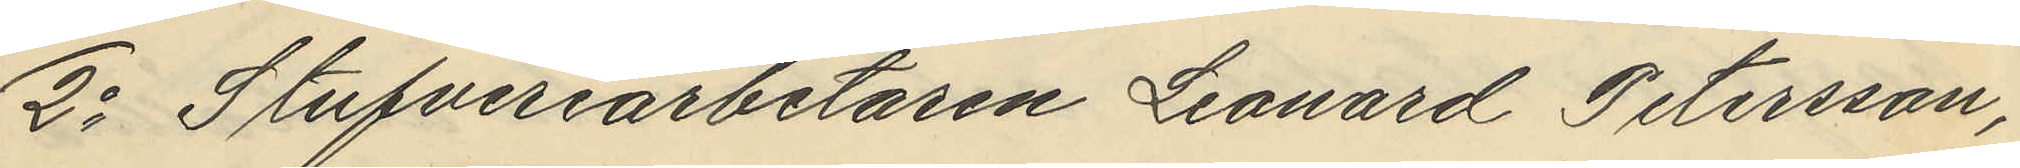2o Stufveriarbetaren Leonard Petersson,
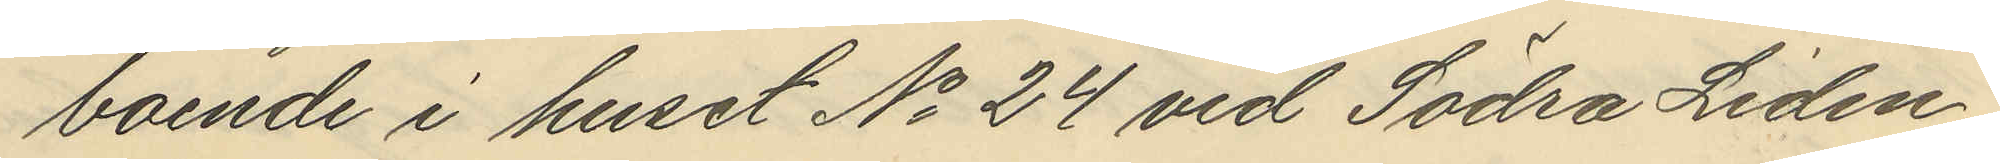boende i huset No 24 vid Södra Liden
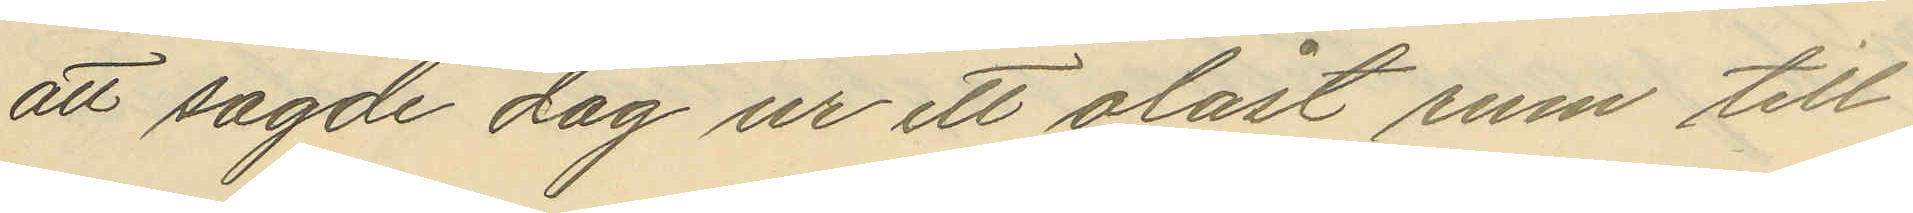att sagde dag ur ett olåst rum till
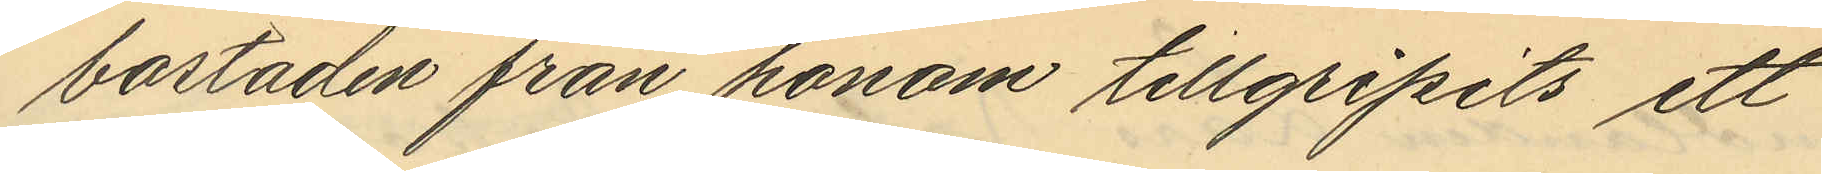bostaden från honom tillgripits ett
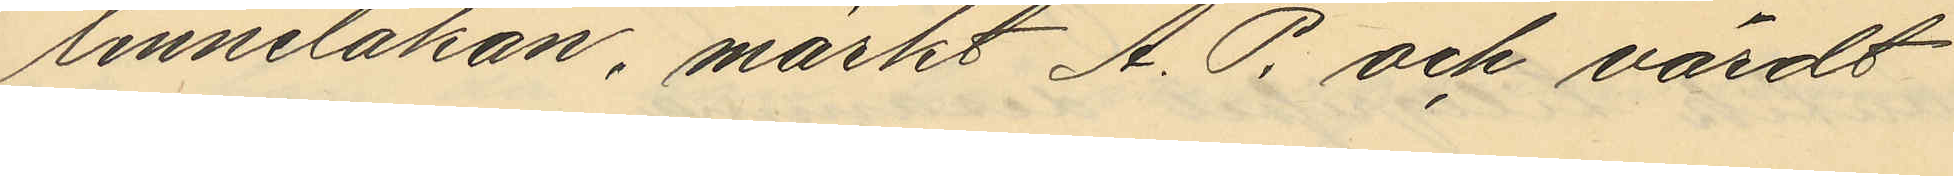linnelakan, märkt A. P. och värdt
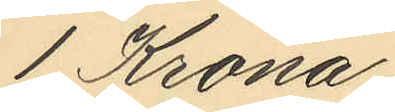1 Krona;
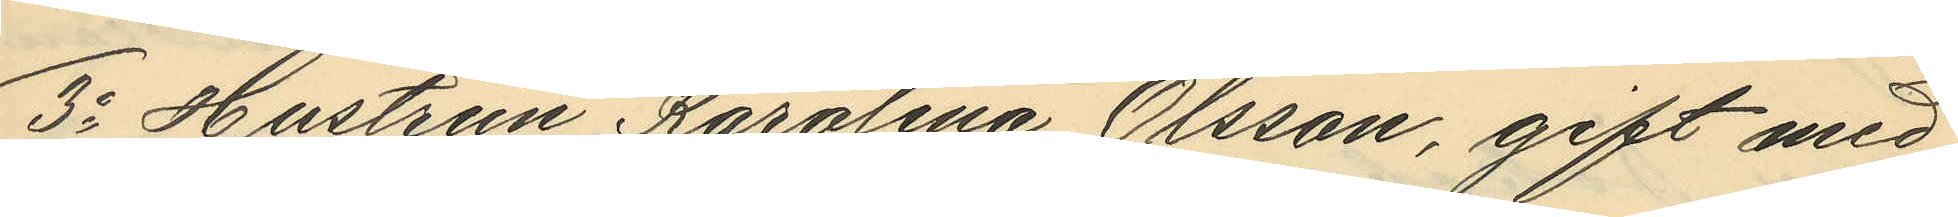3o Hustrun Karolina Olsson, gift med
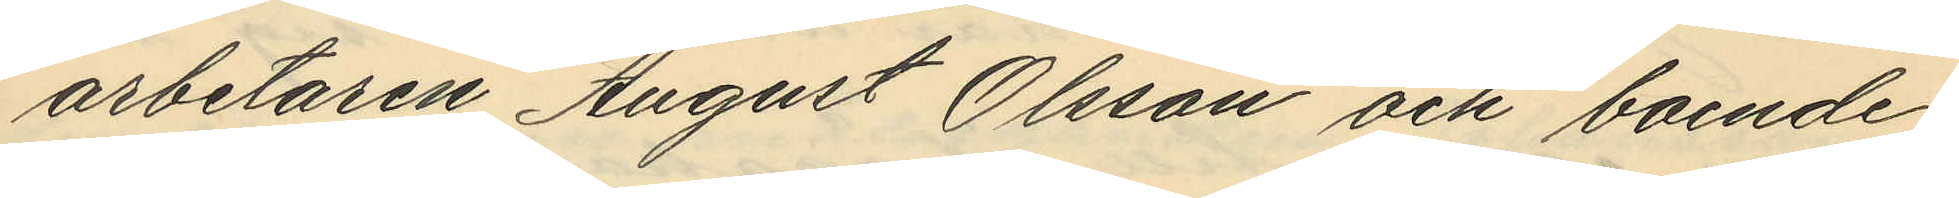arbetaren August Olsson och boende
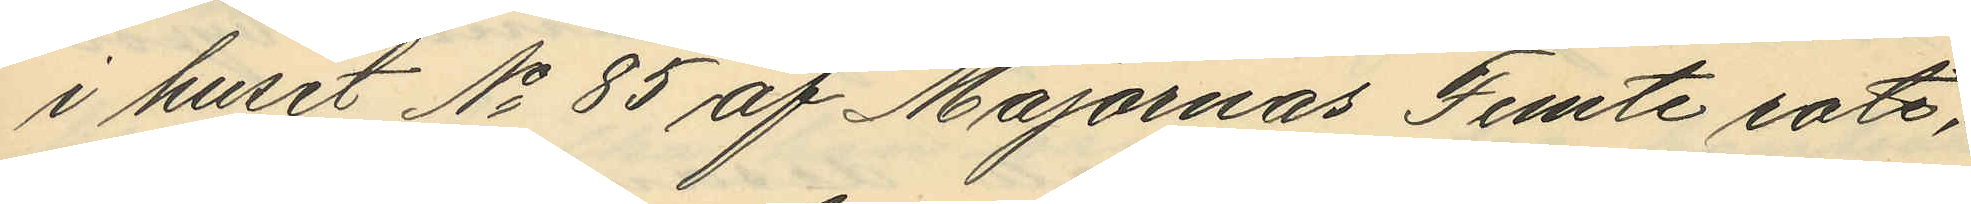i huset No 85 af Majornas Femte rote,
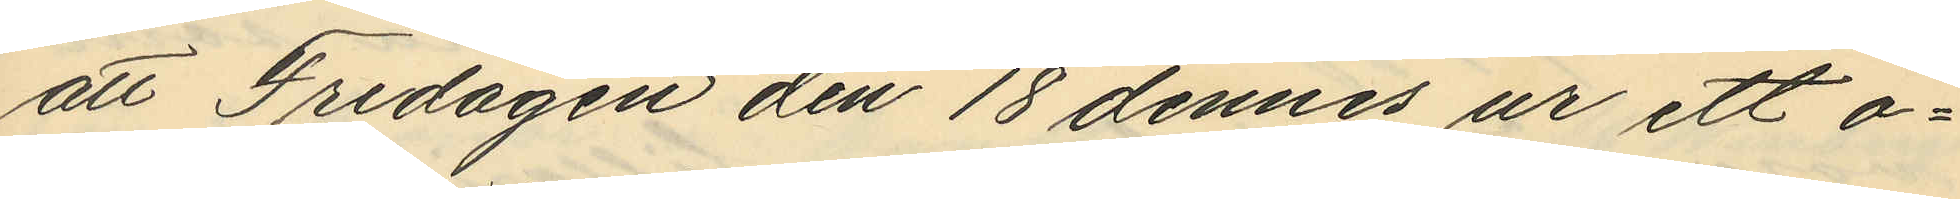att Fredagen den 18 dennes ur ett o¬
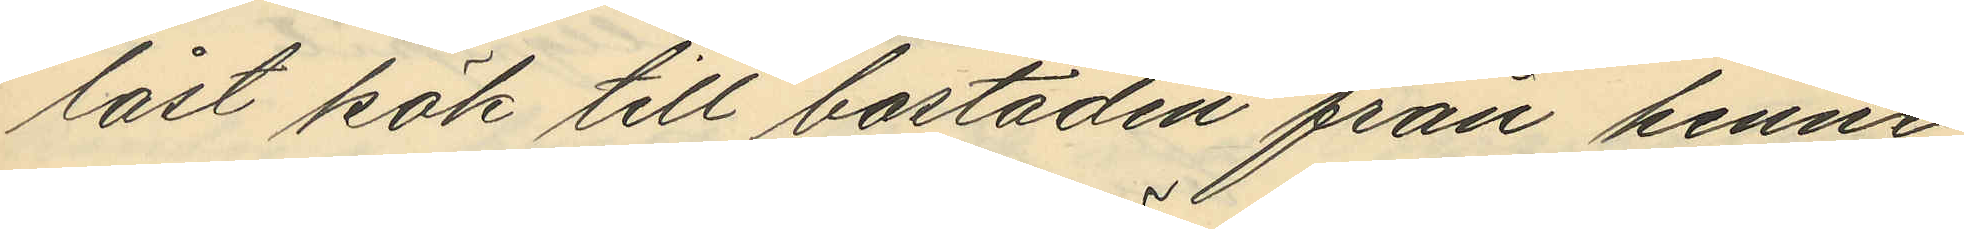låst kök till bostaden från henne
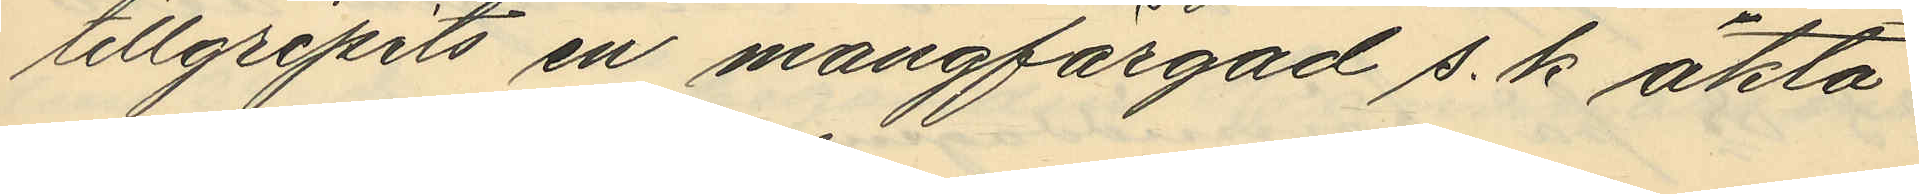tillgripits en mångfärgad s. k äkta
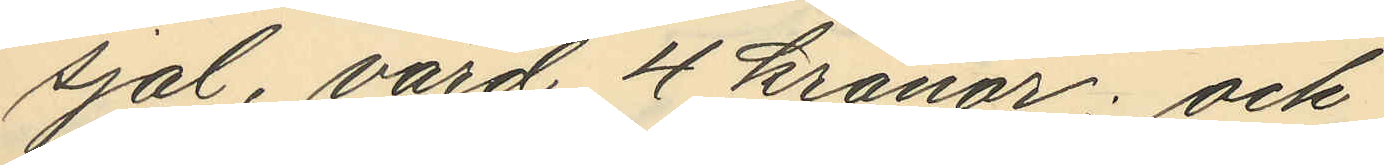sjal, värd 4 kronor; och
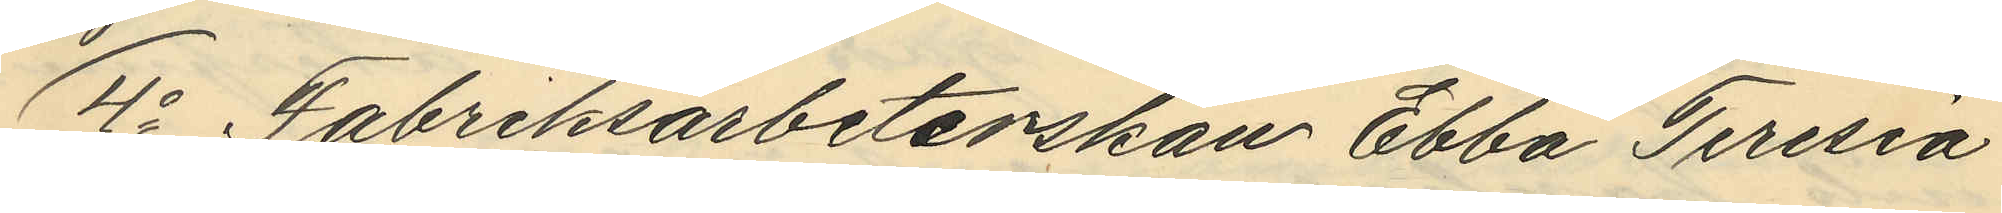4o Fabriksarbeterskan Ebba Teresia
